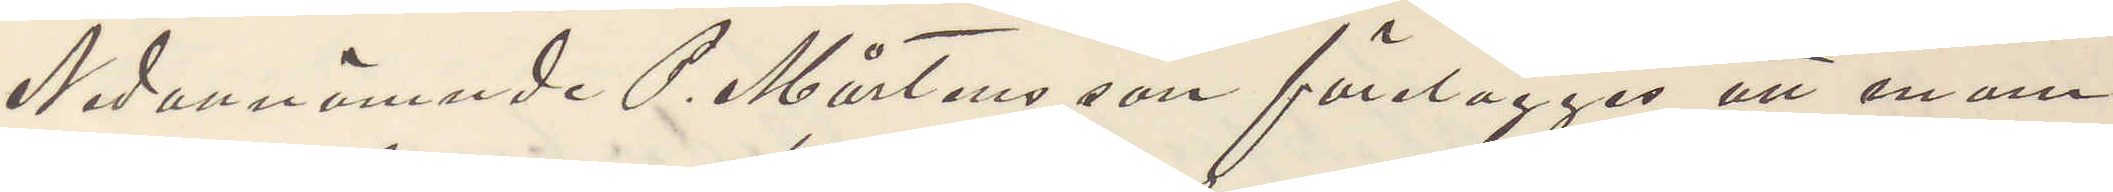Nedannämnde P. Mårtensson förelägges att inom
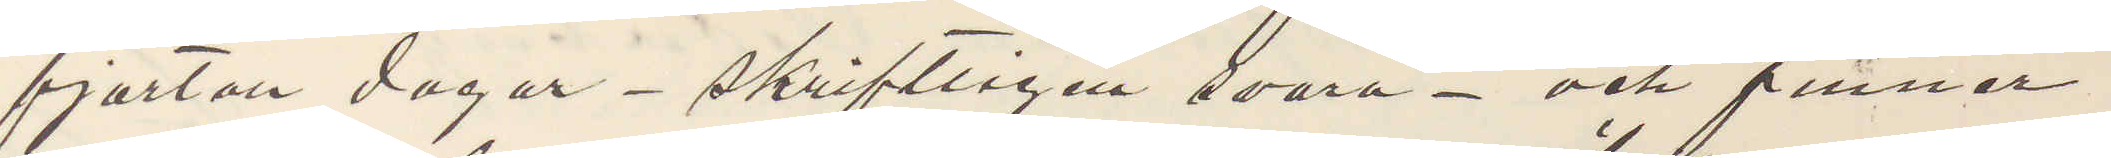fjorton dagar - skriftligen svara - och finner
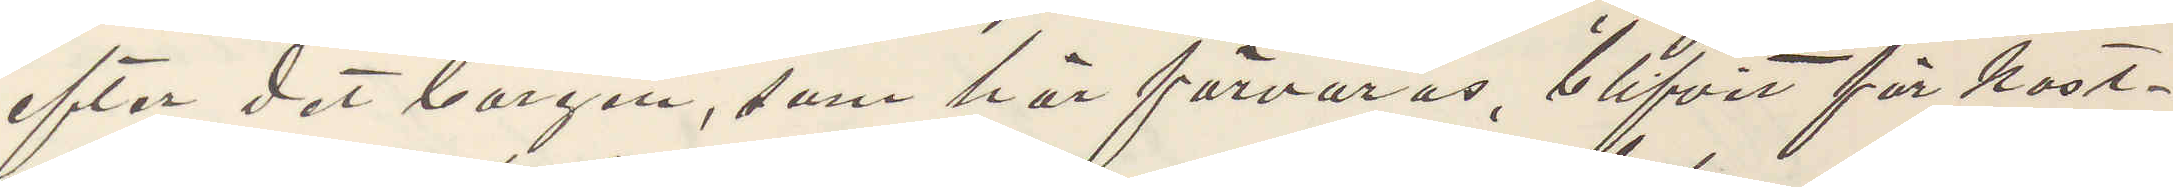efter det borgen, som här förvaras, blifvit för kost¬
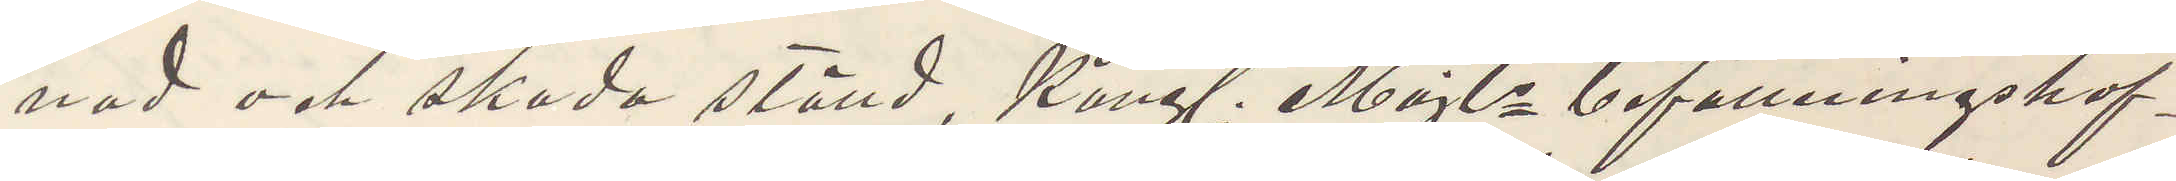nad och skado ställd Kongl. Majts befallningshaf¬
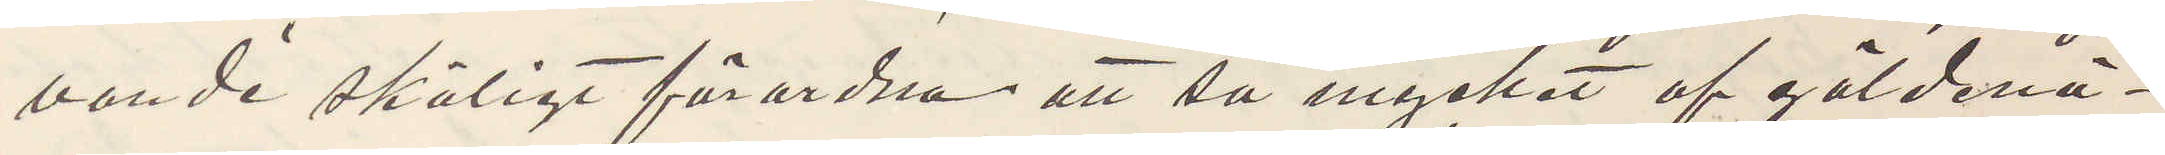vande skäligt förordna att så mycket af gäldenä¬
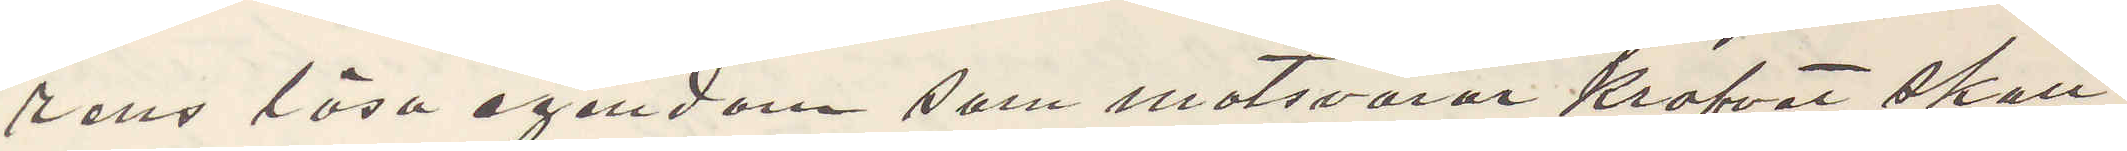rens lösa egendom som motsvarar krafvet skall
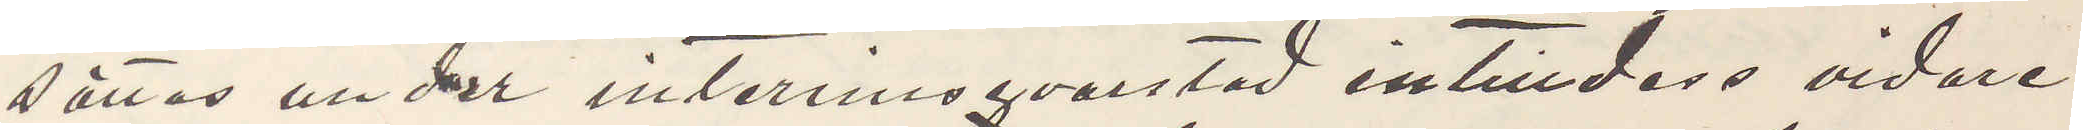sättas under interrimsqvarstad intilldess vidare
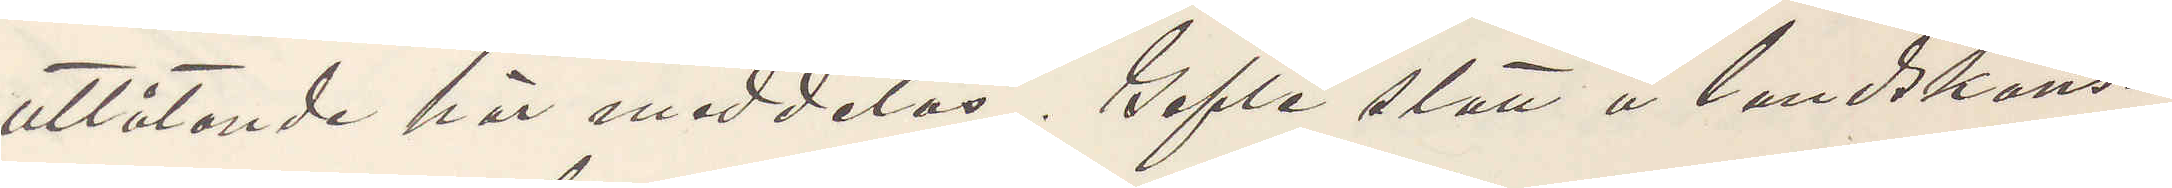utlåtande här meddelas. Gefle slott å landskans¬
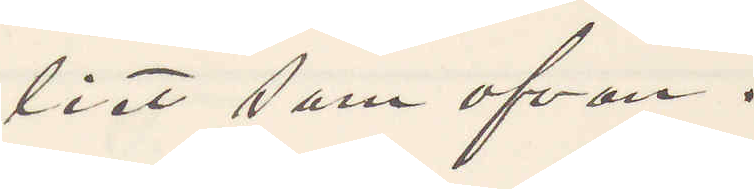liet som ofvan.
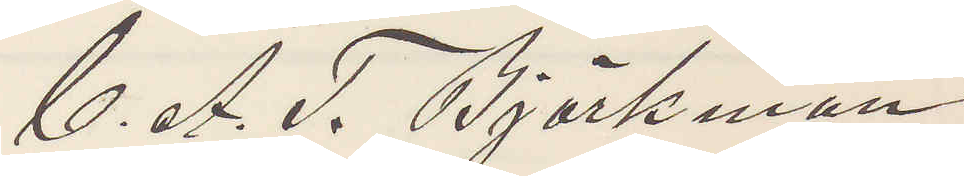C. A. F. Björkman
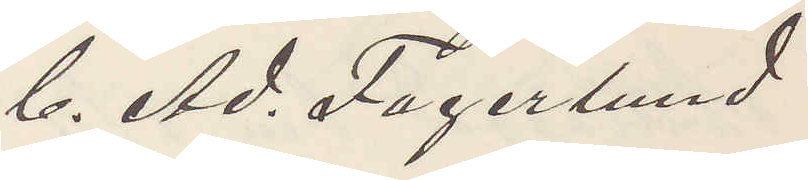C. Ad. Fagerlund
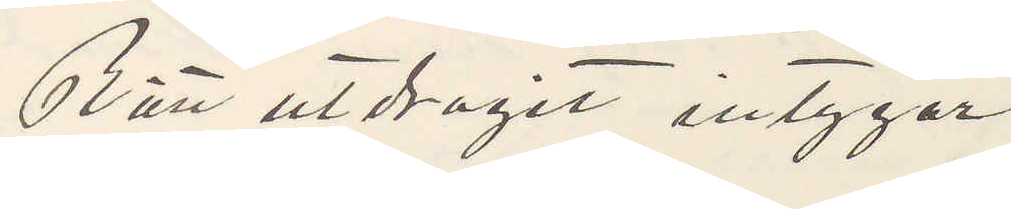Rätt utdragit intygar
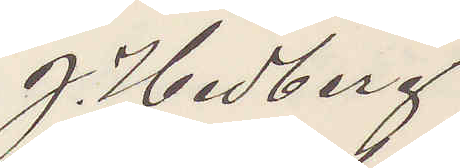J. Hedberg
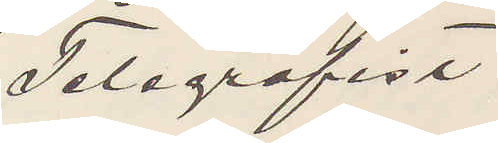Telegrafist
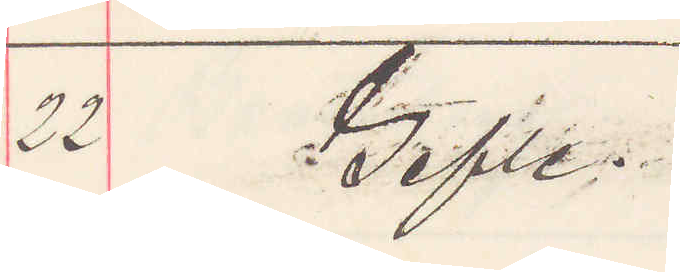22 Gefle.
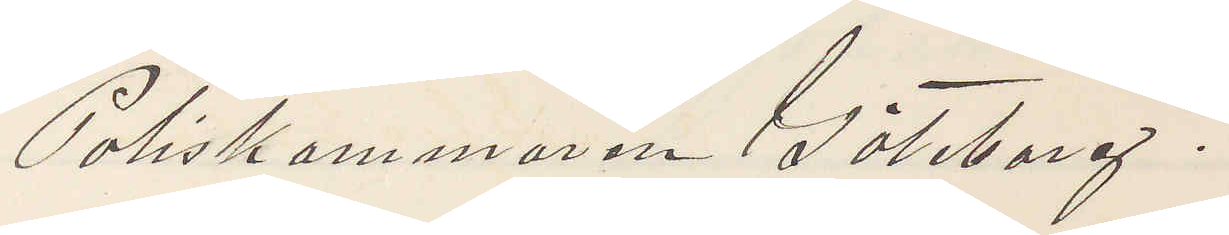Poliskammaren Göteborg.
